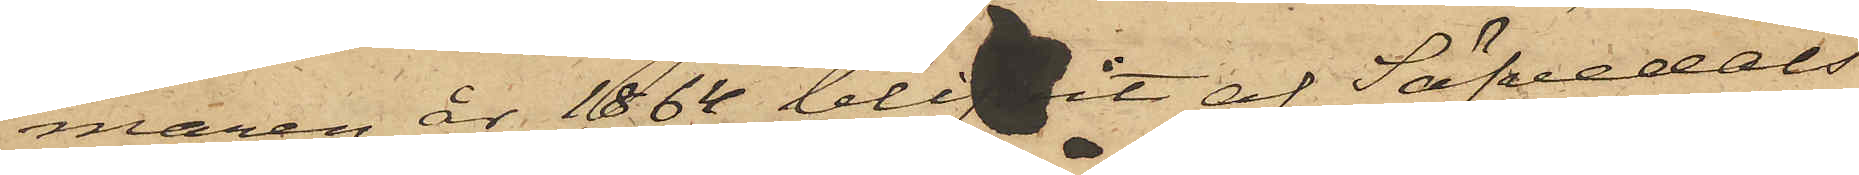maren år 1864 blifvit af Säfvedals
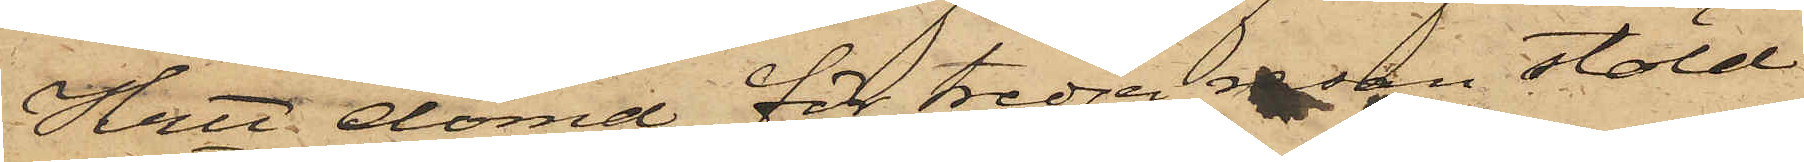Hrtt dömd för tredje resan stöld
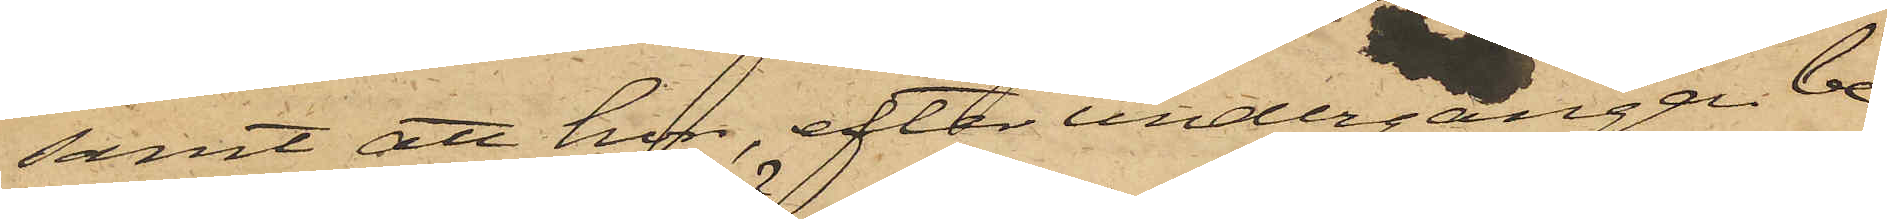samt att hon, efter undergången be¬
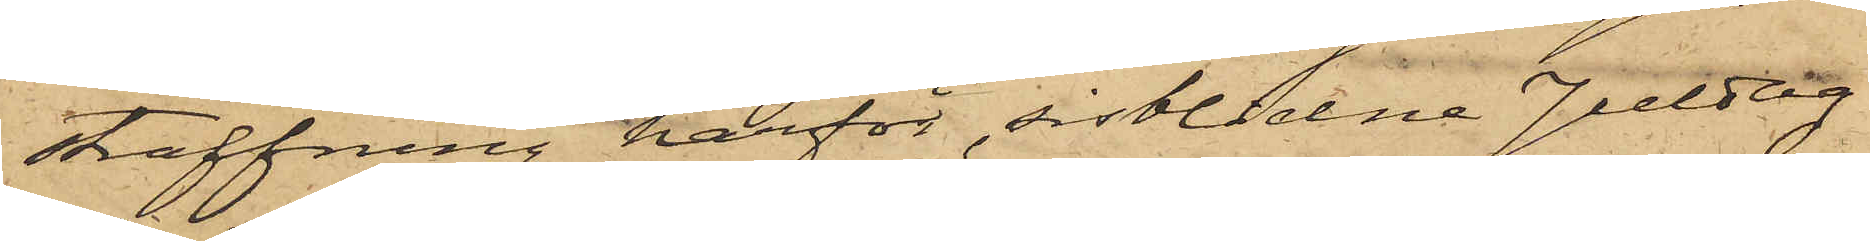straffning härför, sistlidne Juldag
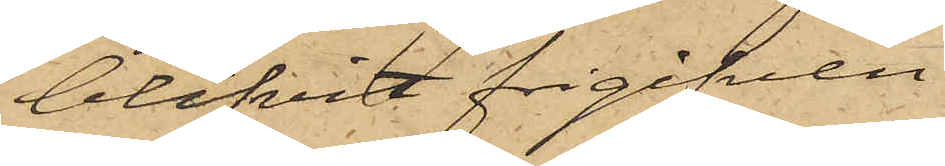blifvit frigifven.
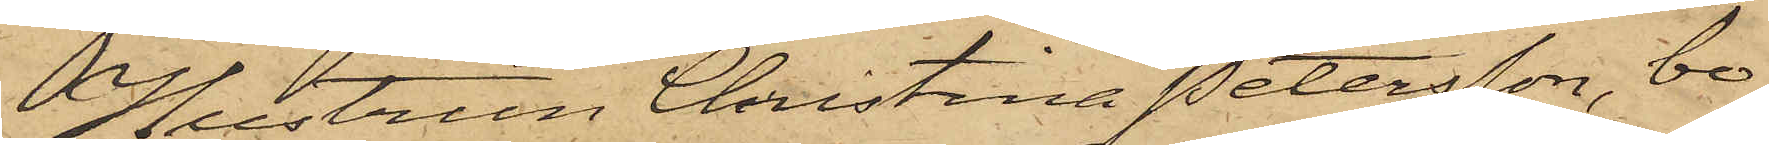Hustrun Christina Petersson, bo¬
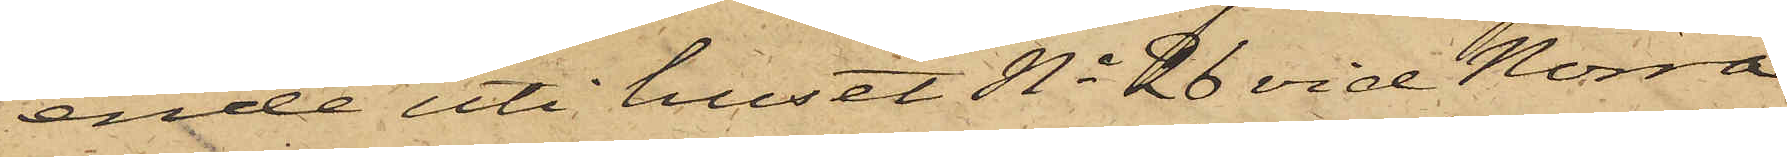ende uti huset No 26 vid Norra
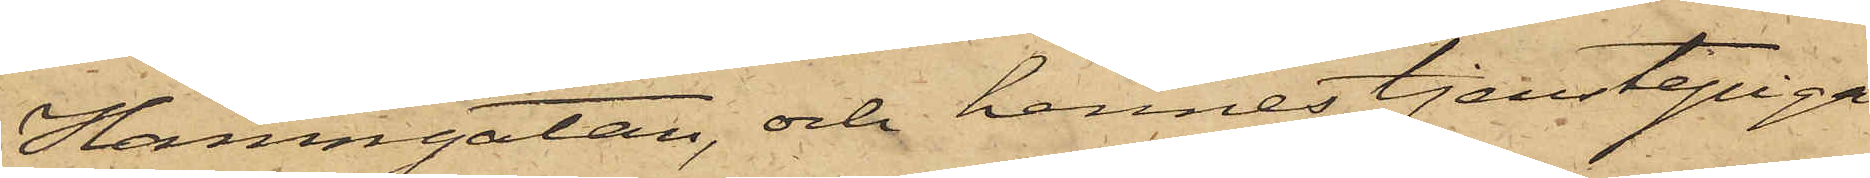Hamngatan, och hennes tjenstepiga
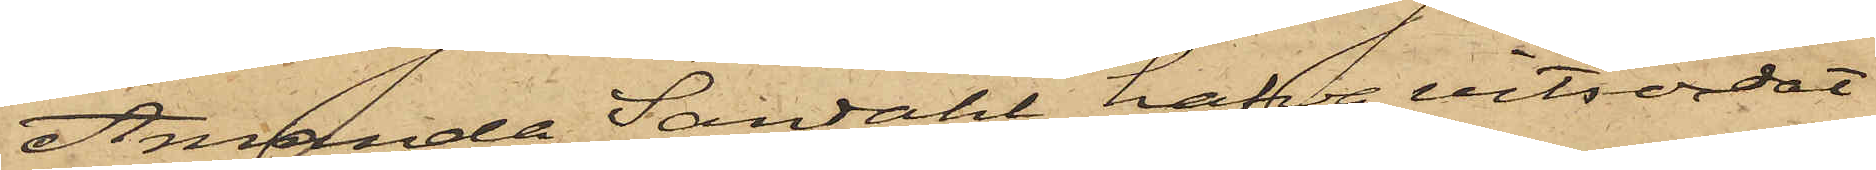Amanda Sandahl hafva vitsordat
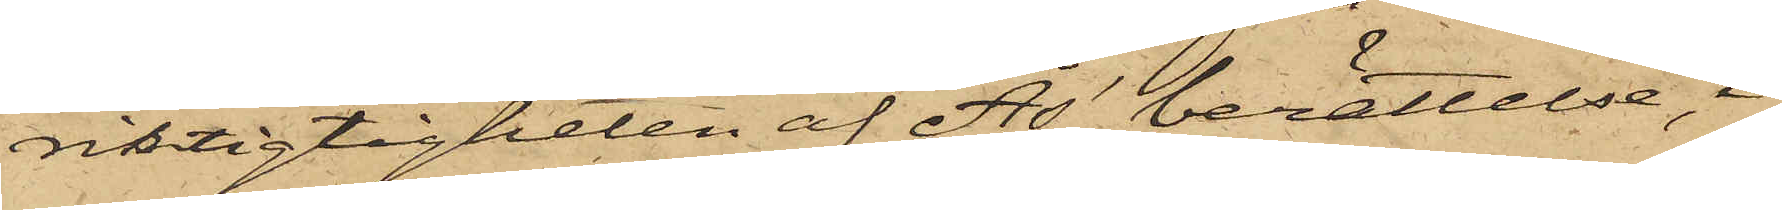riktigtigheten af Ås' berättelse, i
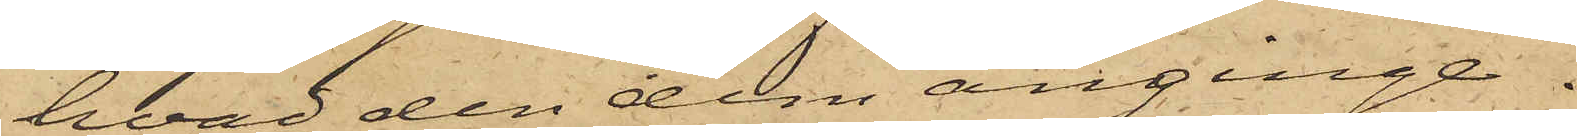hvad den dem anginge.
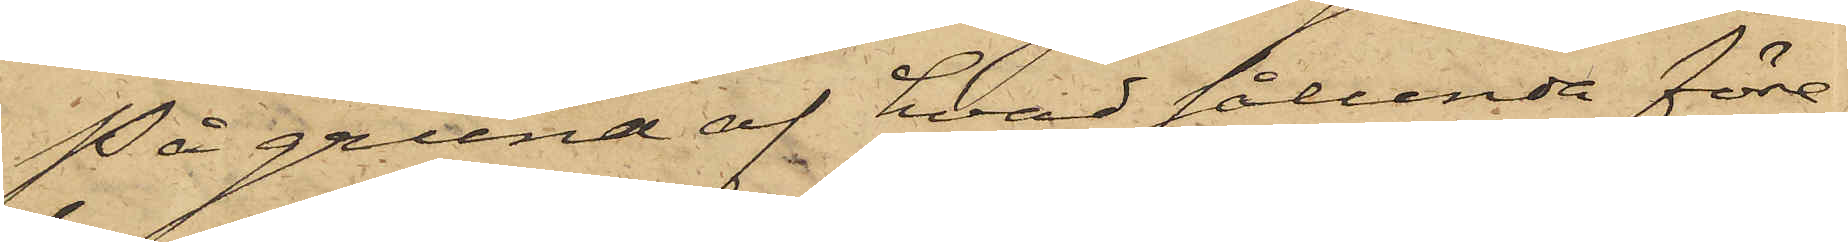På grund af hvad sålunda före¬
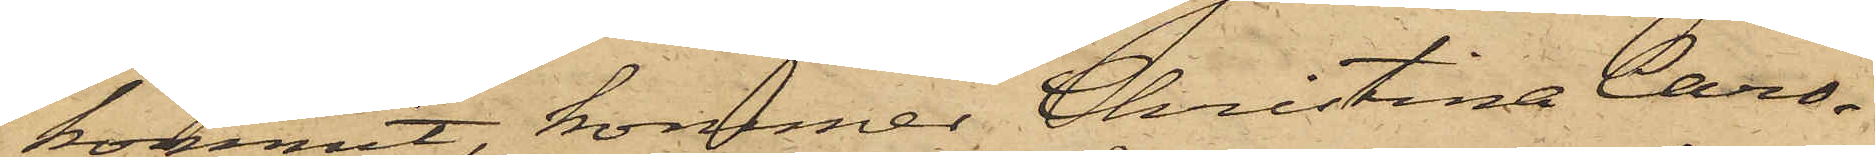kommit, kommer Christina Caro¬
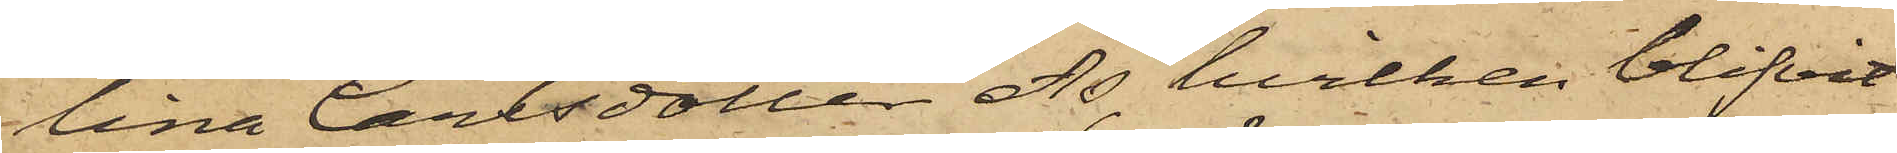lina Carlsdotter Ås, hvilken blifvit
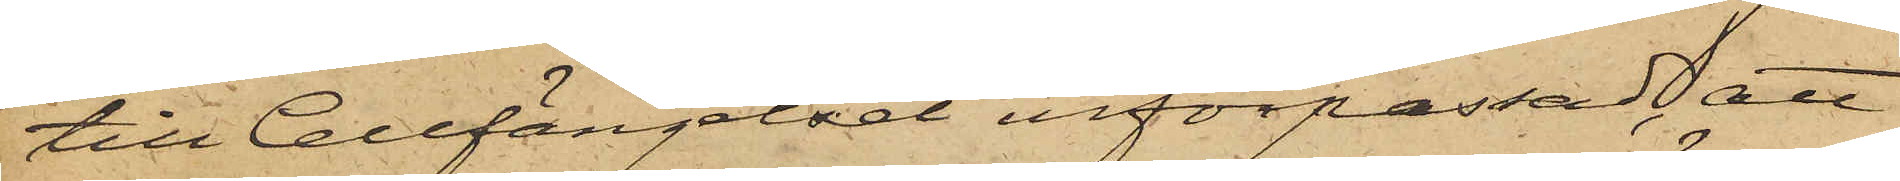till Cellfängelset införpassad, att
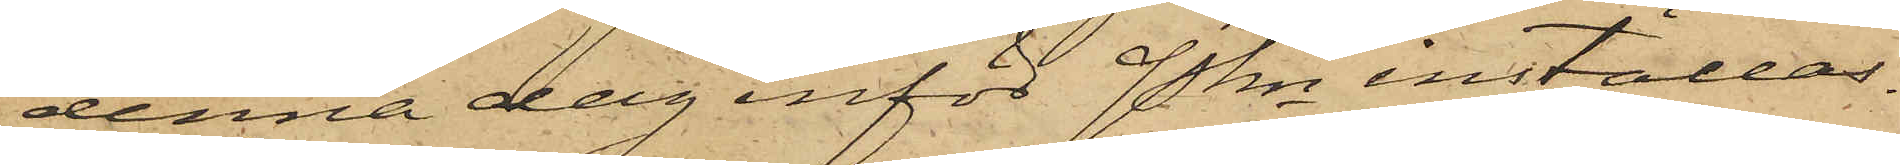denna dag inför Pkn inställas.
